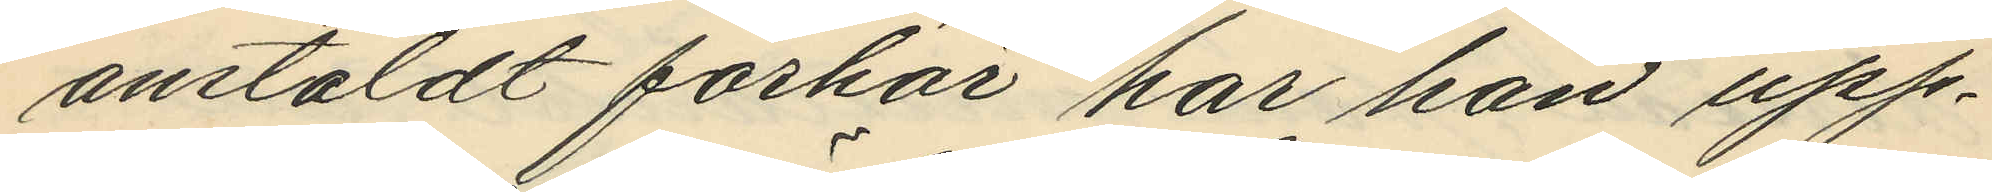anstäldt förhör har han upp¬
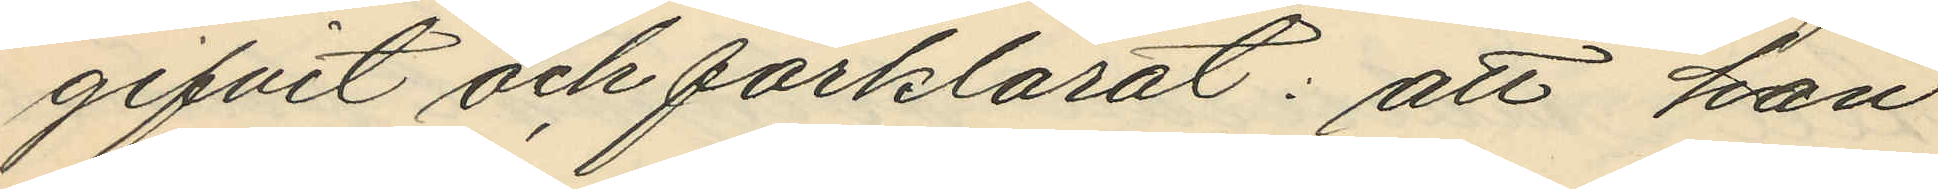gifvit och förklarat: att han
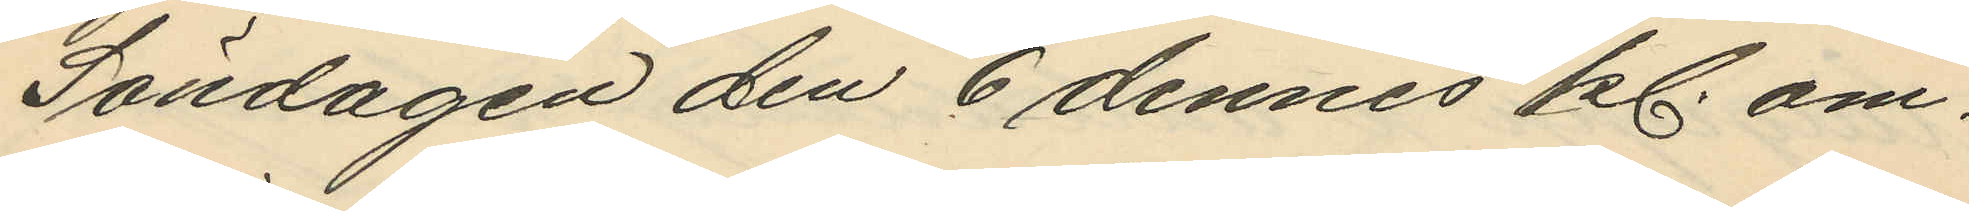Söndagen den 6 dennes kl. om¬
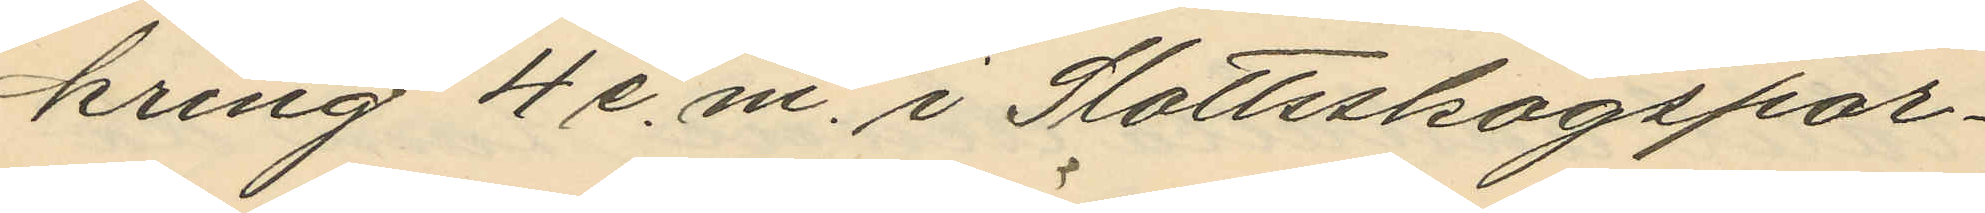kring 4 e.m. i Slottsskogspar¬
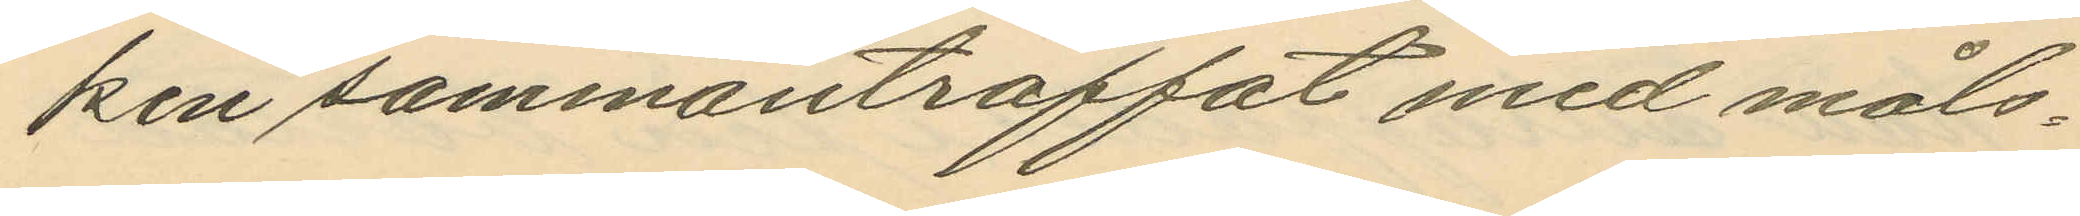ken sammanträffat med måls¬
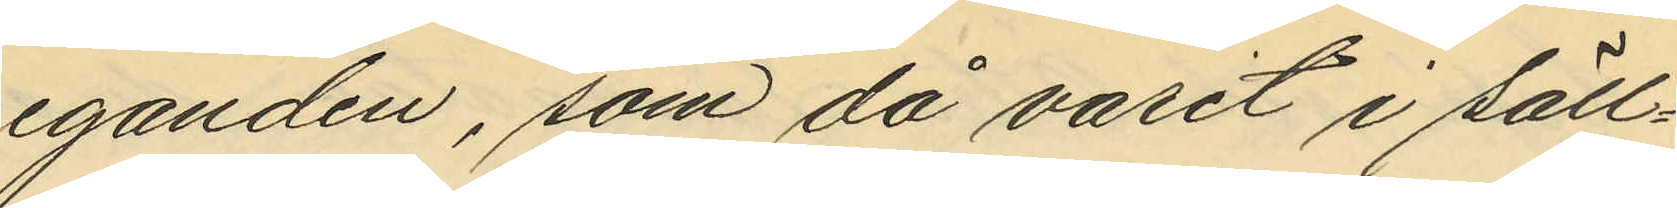eganden, som då varit i säll¬
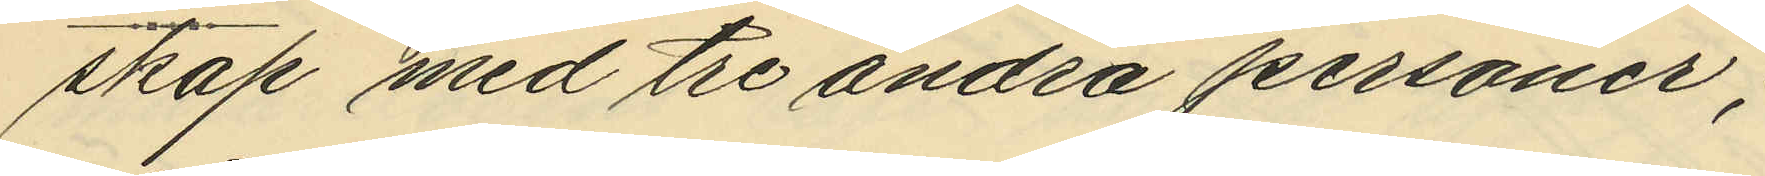skap med tre andra personer;
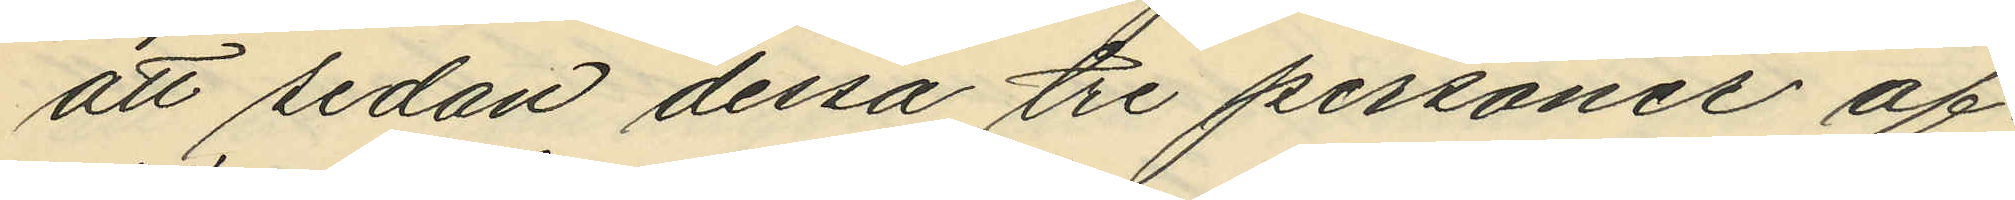att sedan dessa tre personer af¬
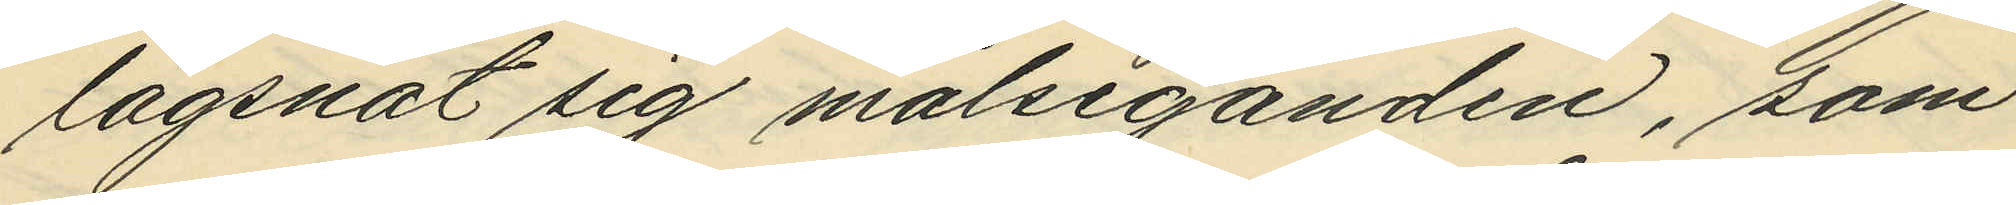lägsnat sig målseganden, som
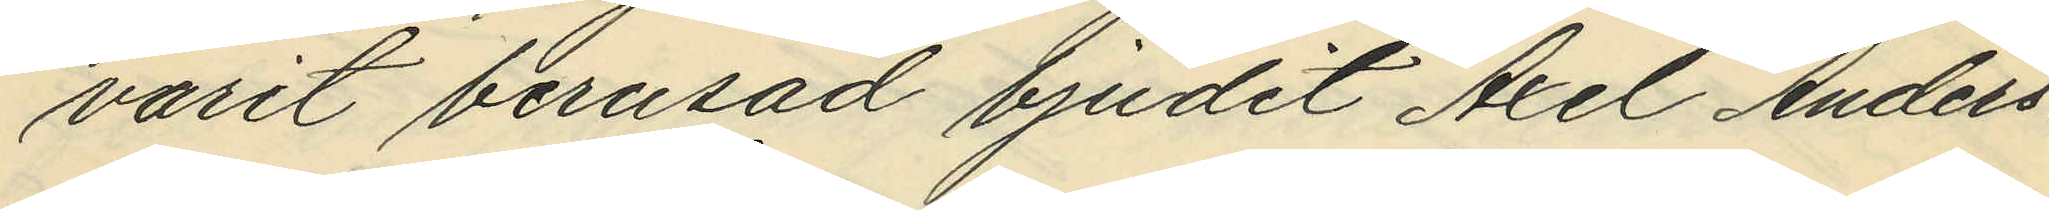varit berusad bjudit Axel Anders¬
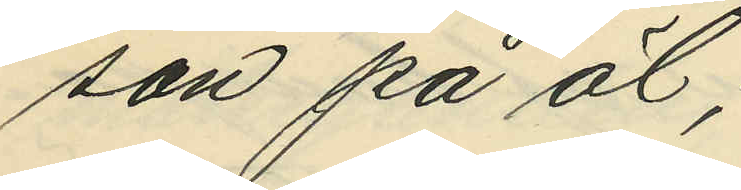son på öl;
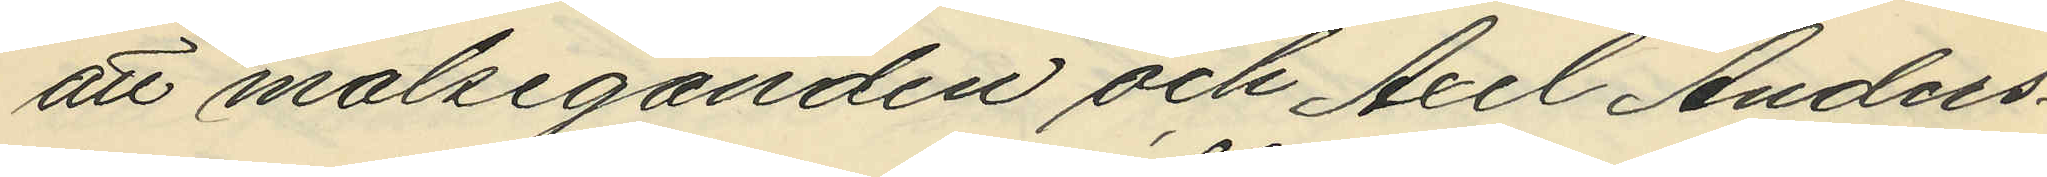att målseganden och Axel Anders¬
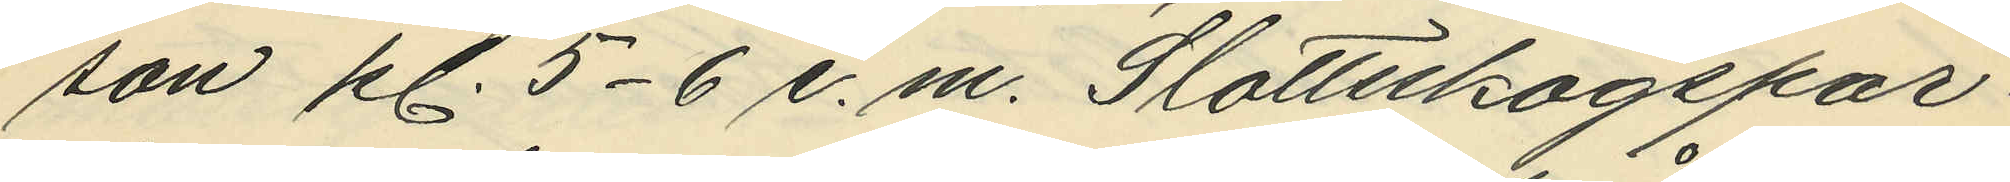son kl. 5-6 e. m. Slottsskogspar¬
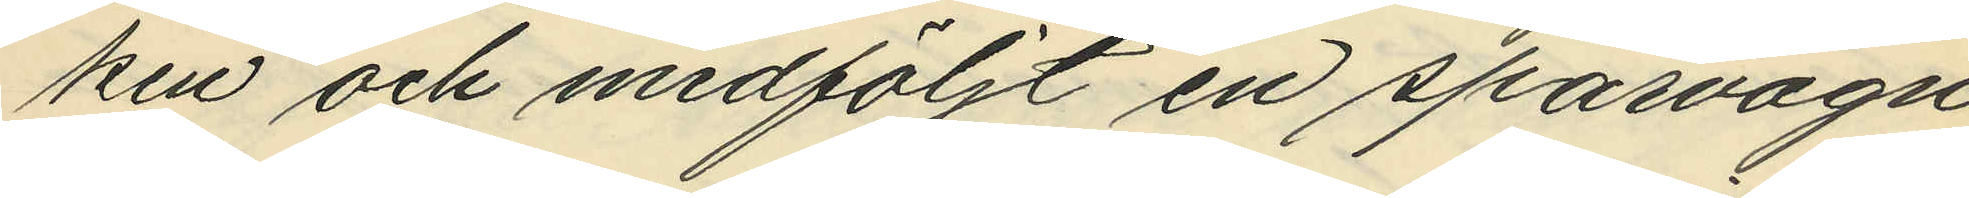ken och medföljt en spårvagn
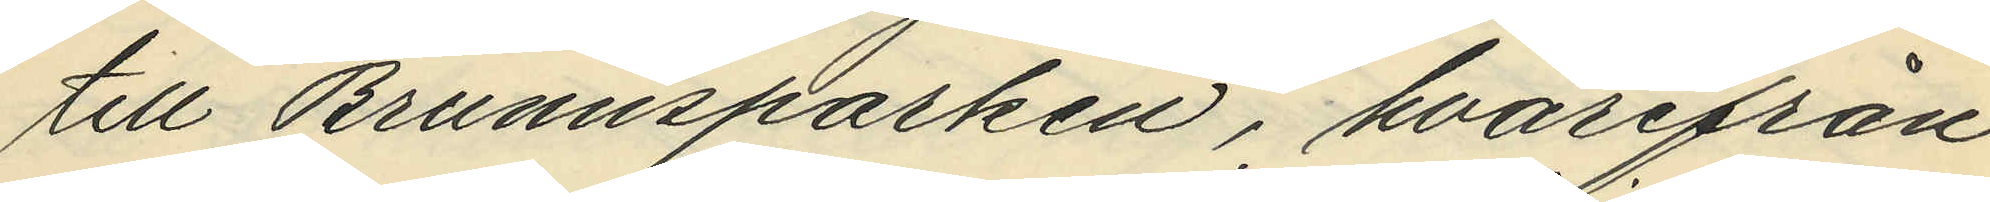till Brunnsparken, hvarifrån
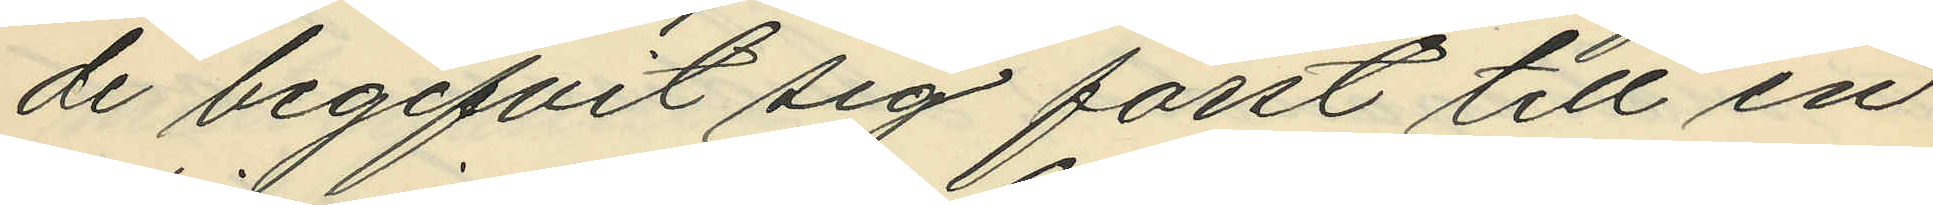de begifvit sig först till en
